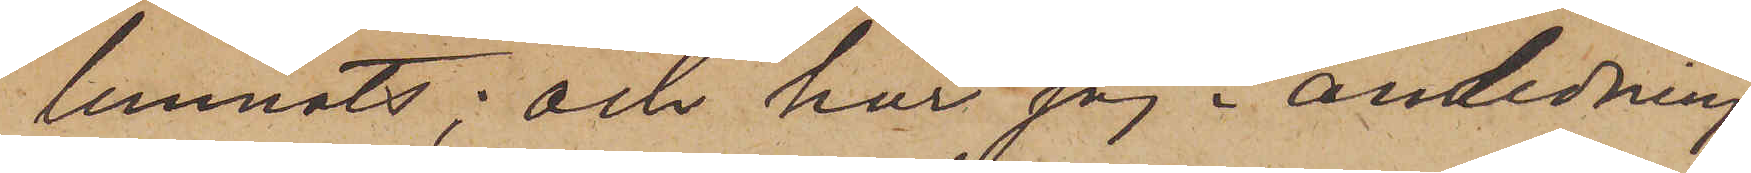lemnats; och har jag i anledning
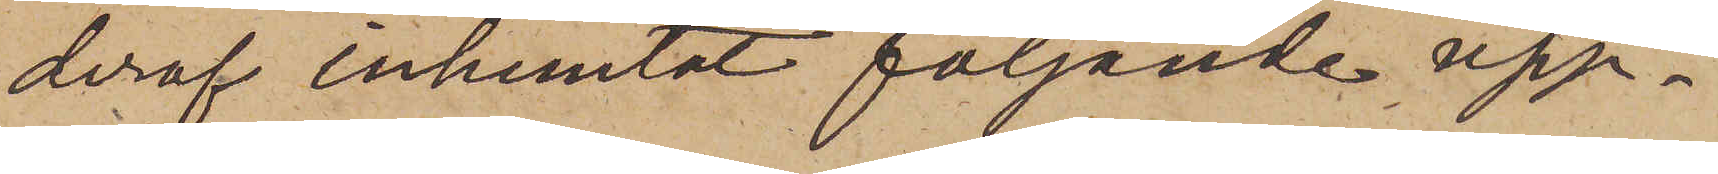deraf inhemtat följande upp¬
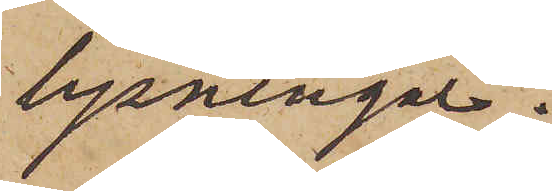lysningar.
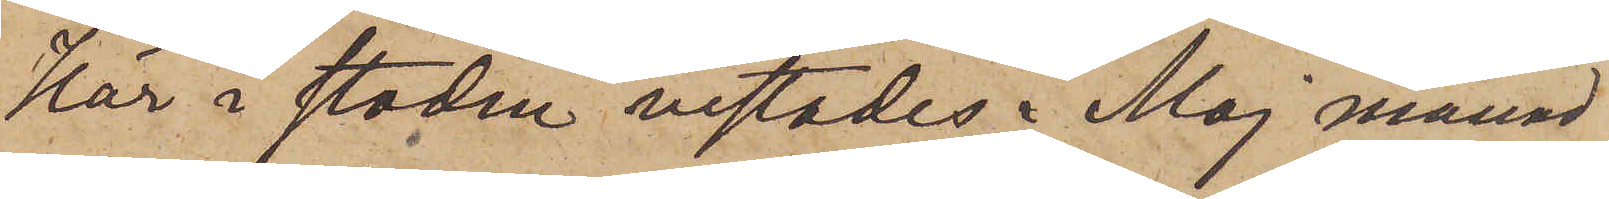Här i staden vistades i Maj månad
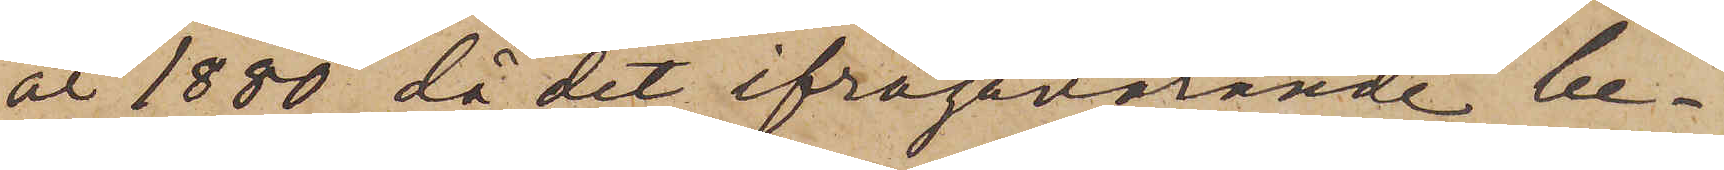år 1880, då det ifrågavarande be¬
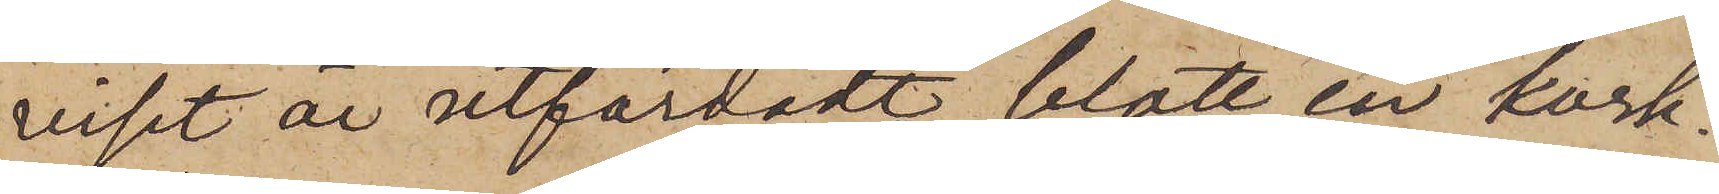viset är utfärdadt, blott en kork¬
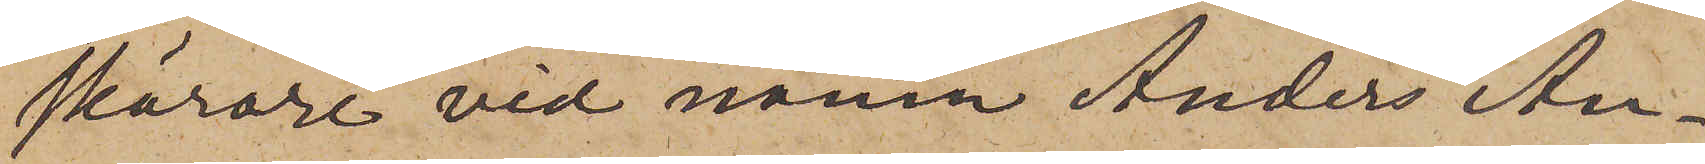skärare vid namn Anders An¬
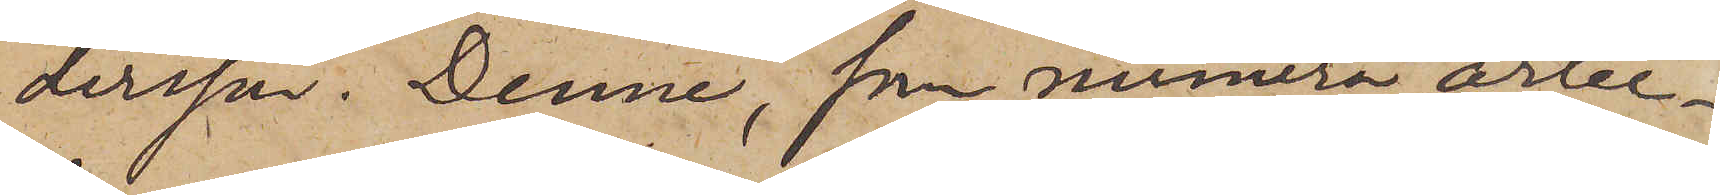dersson. Denne, som numera arbe¬
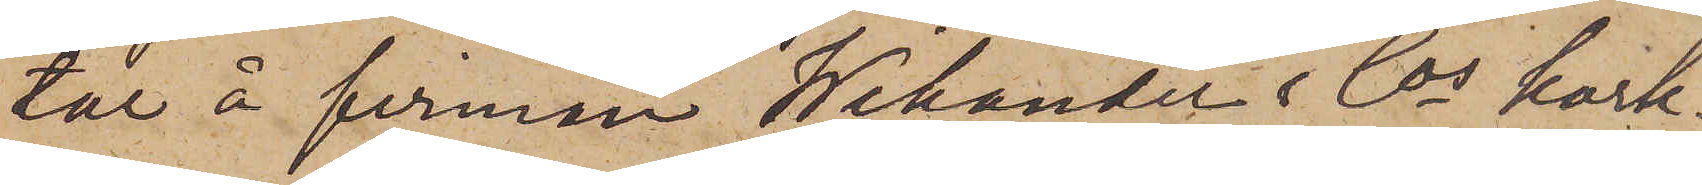tar å firman Wikander & Cos kork¬
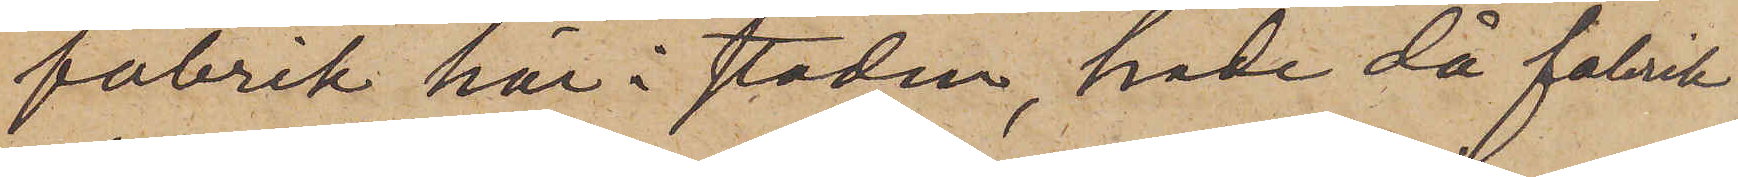fabrik här i staden, hade då fabrik
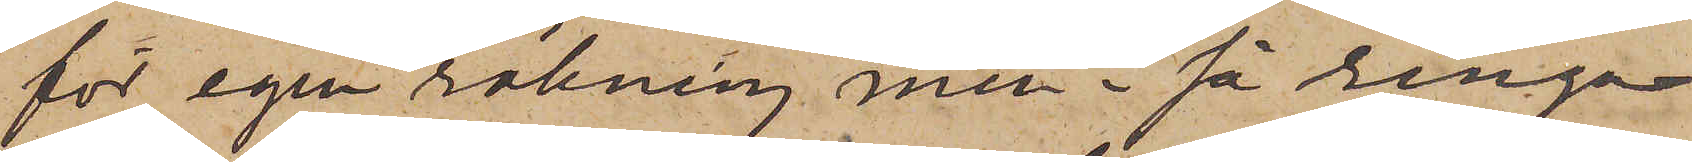för egen räkning men i så ringa
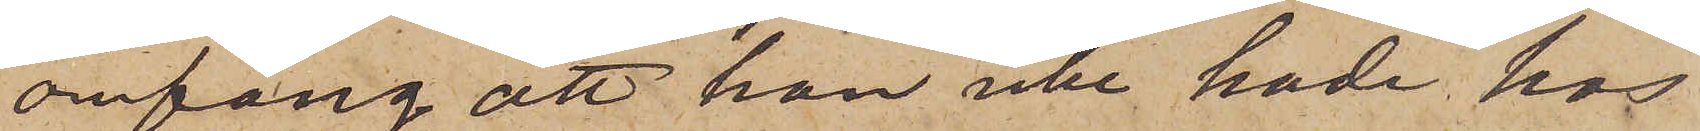omfång, att han icke hade hos
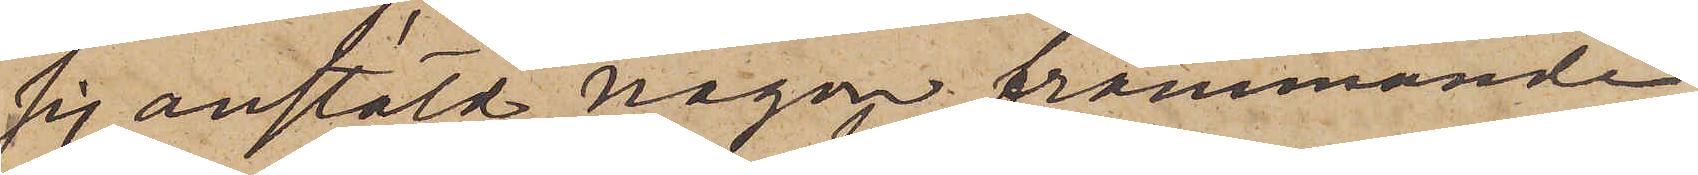sig anstäld någon främmande
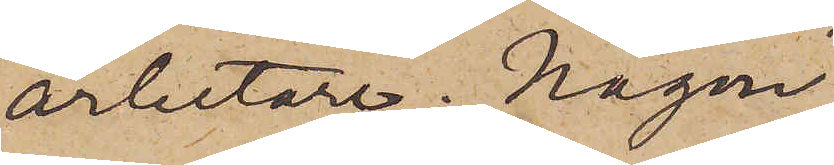arbetare. Någon
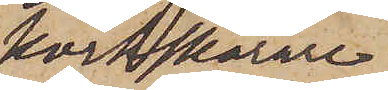korkskärare
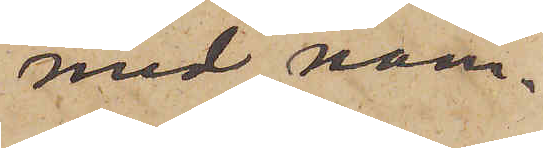med nam¬
